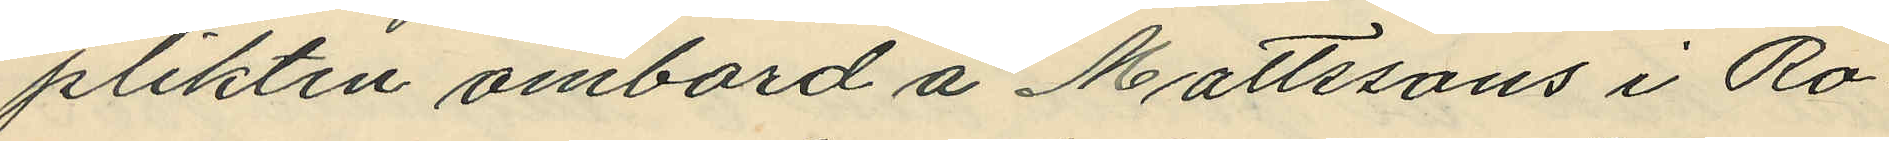plikten ombord å Mattssons i Ro¬
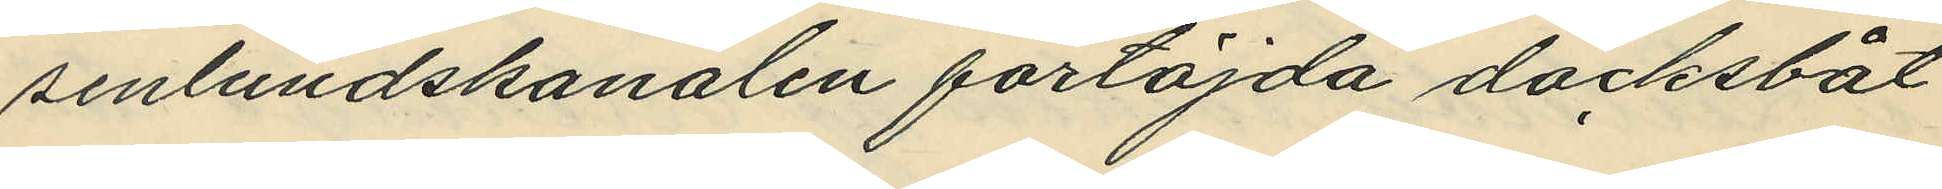senlundskanalen förtöjda däcksbåt
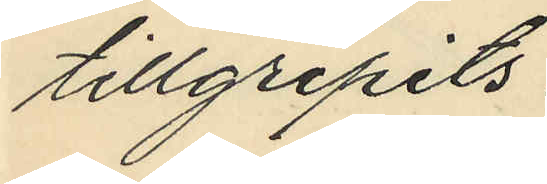tillgripits:
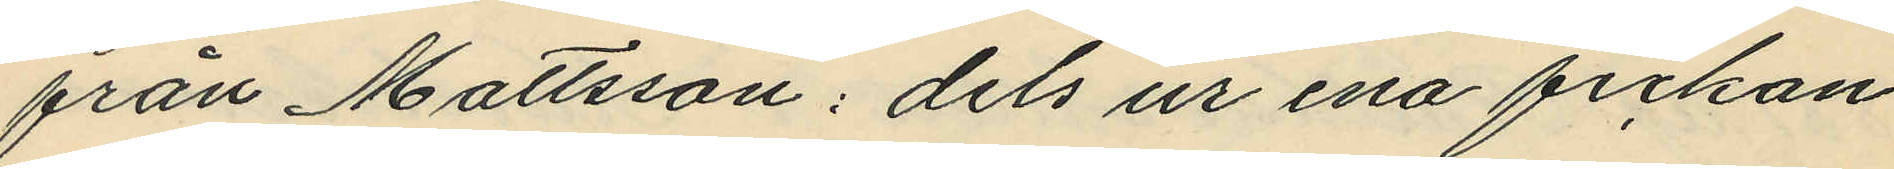från Mattsson: dels ur ena fickan
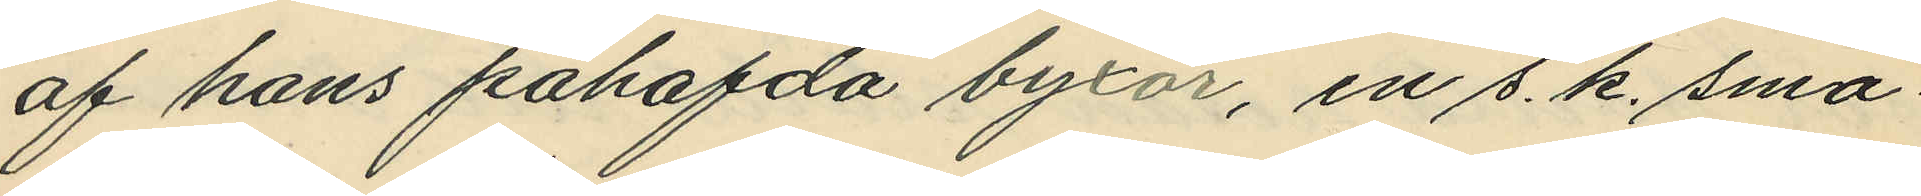af hans påhafda byxor, en s. k. små¬
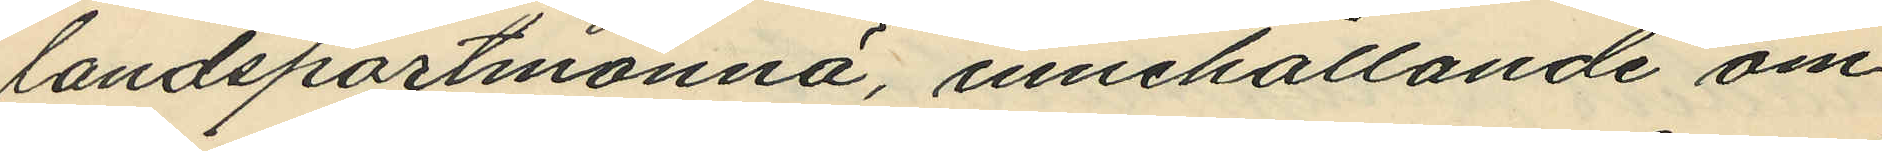landsportmonnä, innehållande om¬
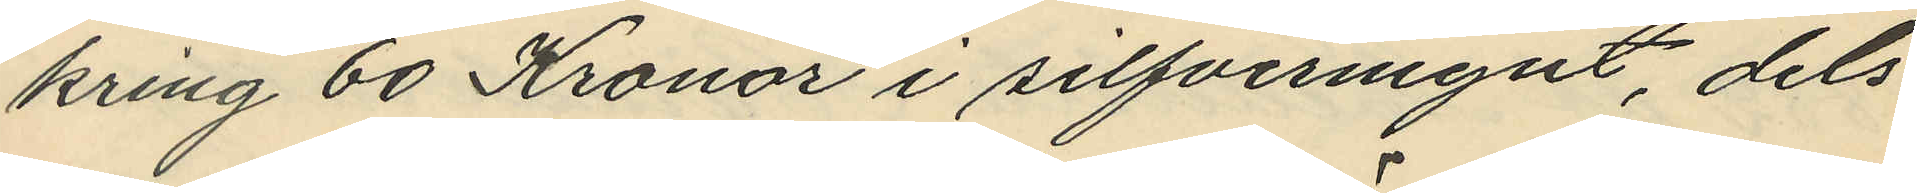kring 60 Kronor i silfvermynt, dels
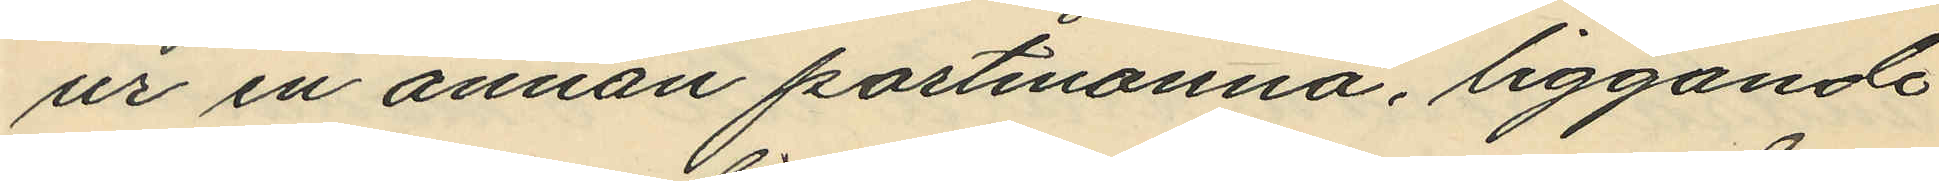ur en annan portmonnä, liggande
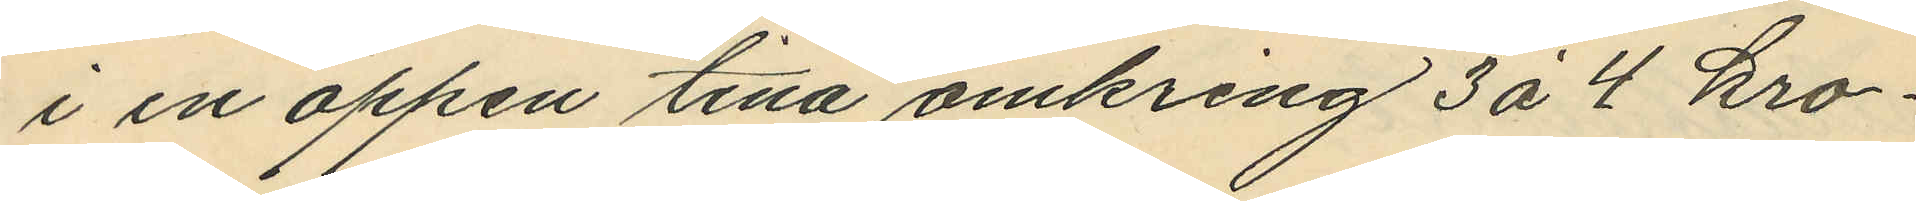i en öppen tina omkring 3 å 4 kro¬
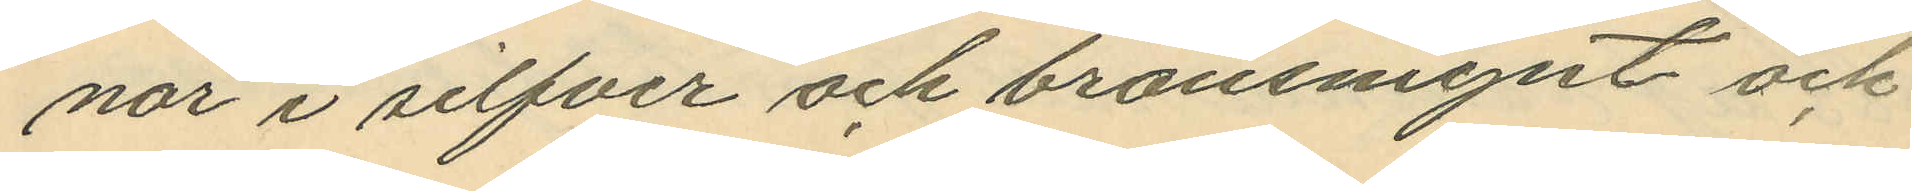nor i silfver och bronsmynt och
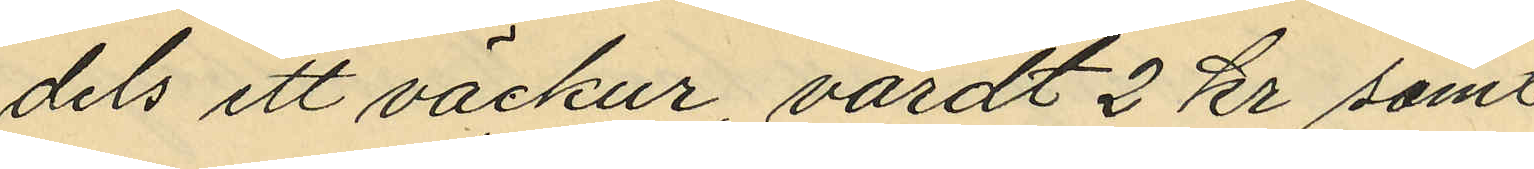dels ett väckur, värdt 2 kr samt
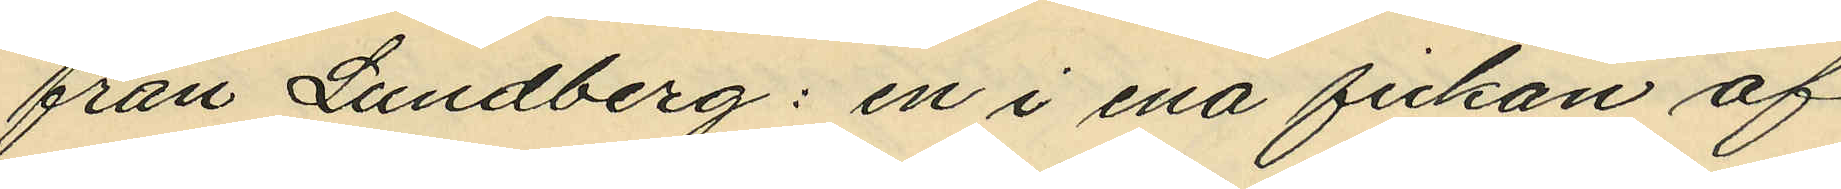från Lundberg: en i ena fickan af
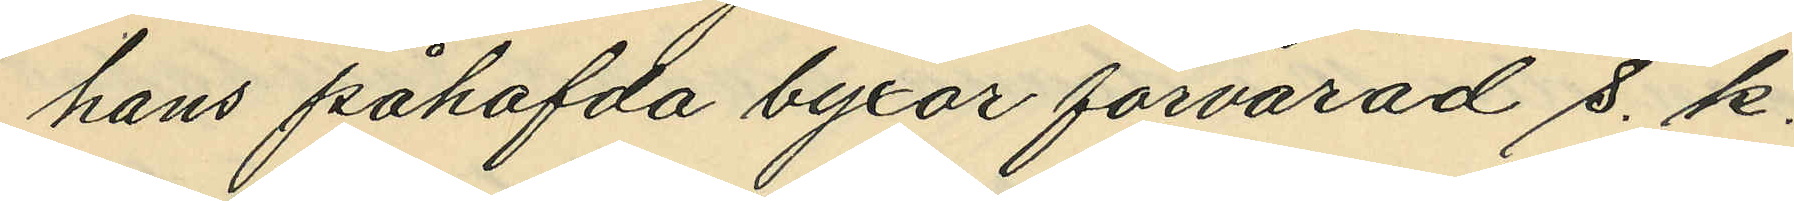hans påhafda byxor förvarad s. k.
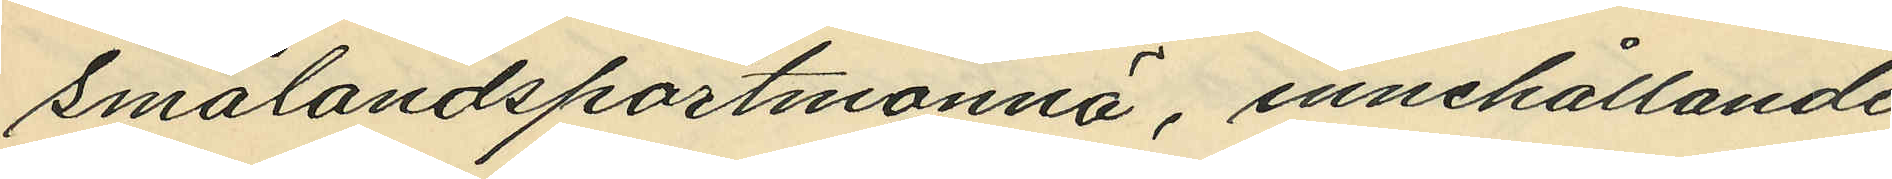Smålandsportmonnä, innehållande
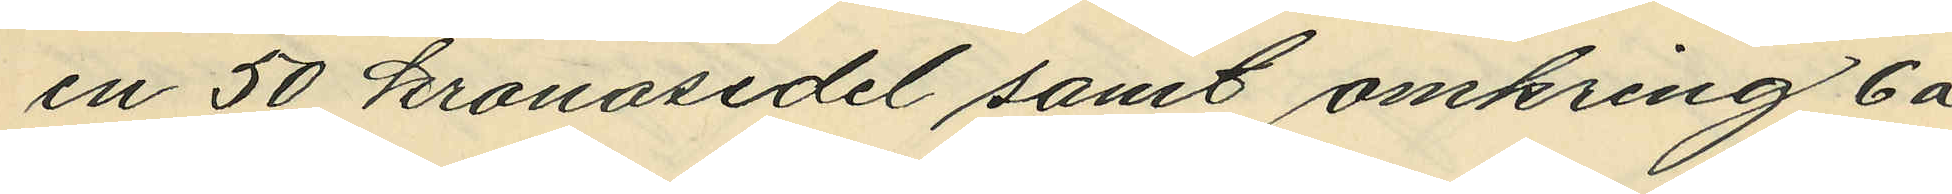en 50 kronosedel samt omkring 6 á
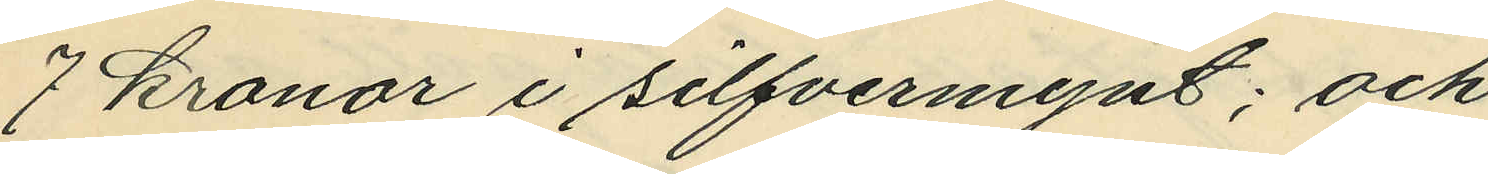7 Kronor i silfvermynt; och
